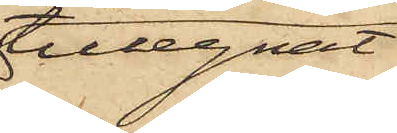tillegnat
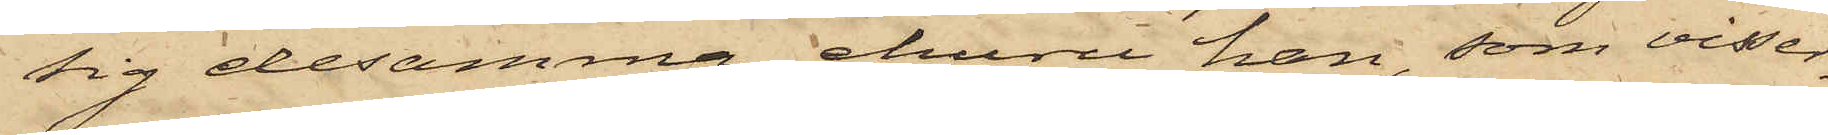sig desamma, ehuru han, som visser¬
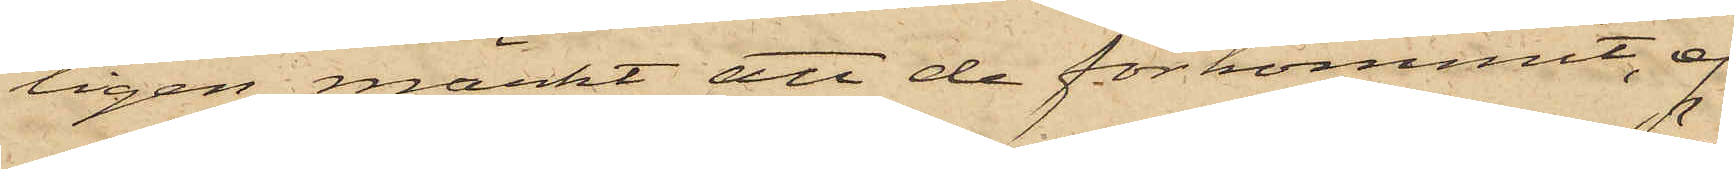ligen märkt att de förkommit, ej
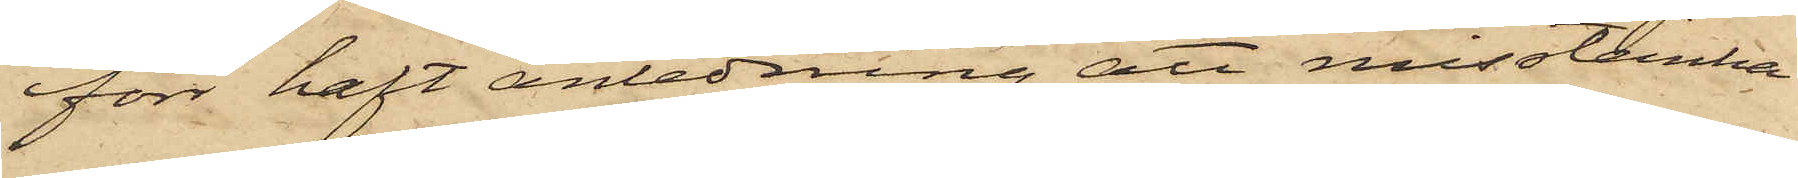förr haft anledning att misstänka
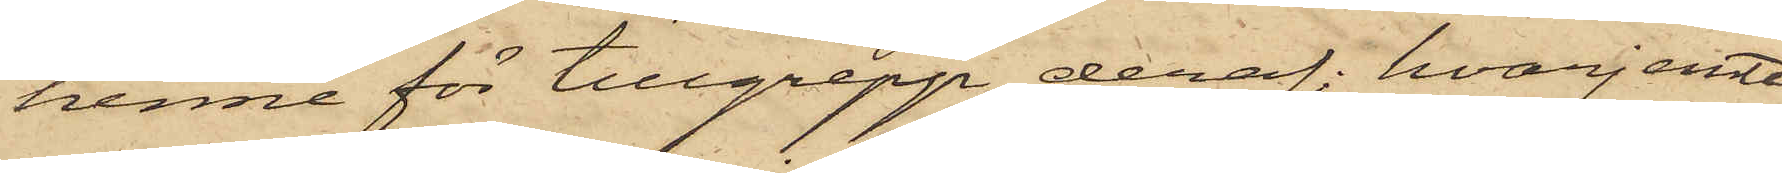henne för tillgrepp deraf; hvarjemte
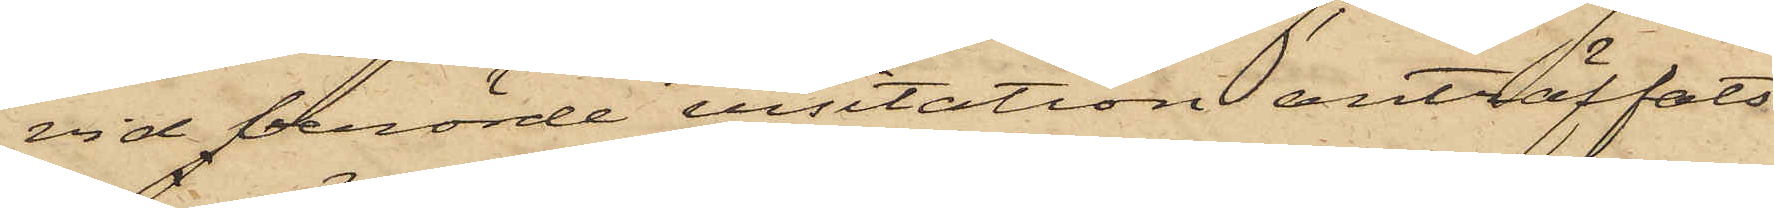vid berörde visitation anträffats
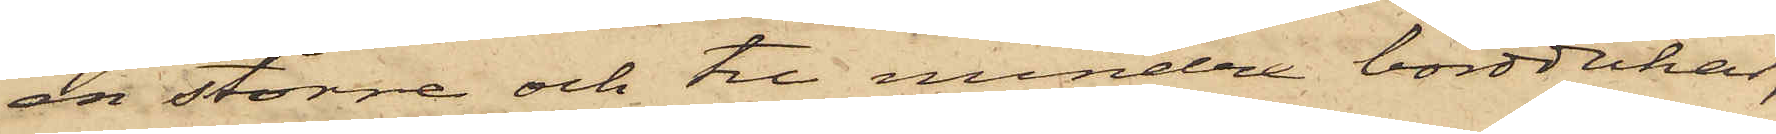en större och tre mindre borddukar,
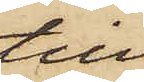till
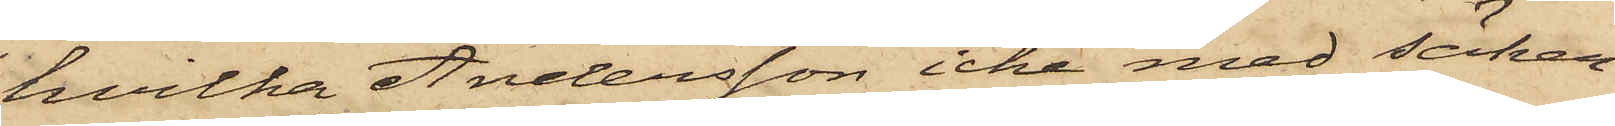hvilka Andersson icke med säker¬
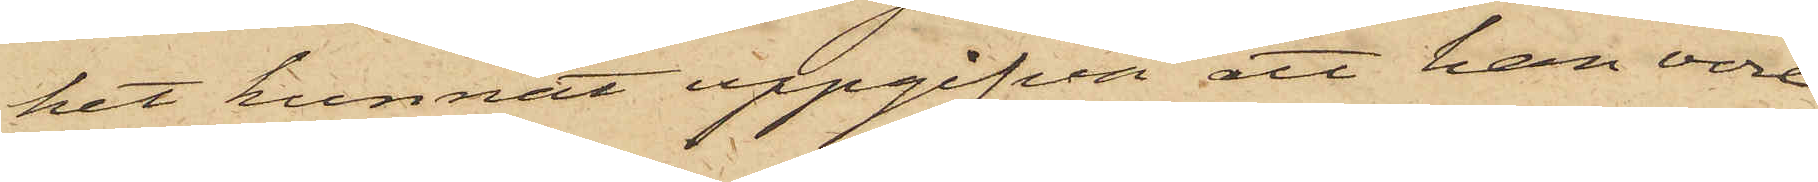het kunnat uppgifva att han vore
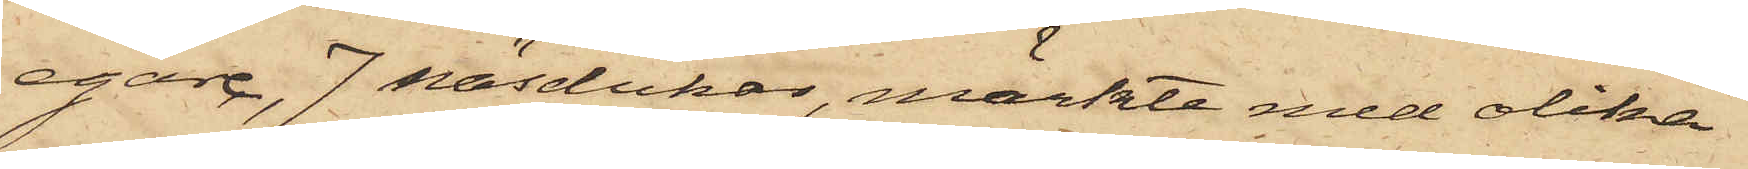egare, 7 näsdukar, märkte med olika
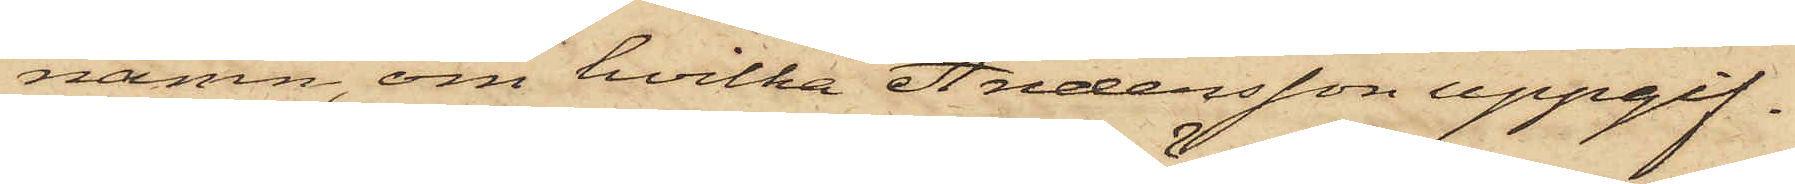namn, om hvilka Andersson uppgif¬
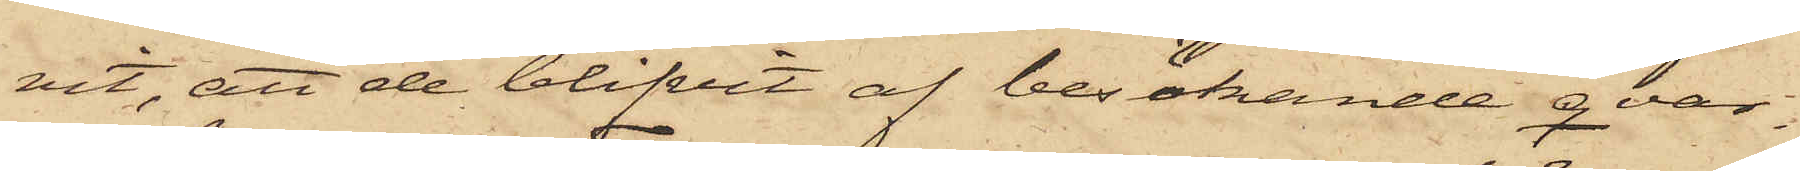vit, att de blifvit af besökande qvar¬
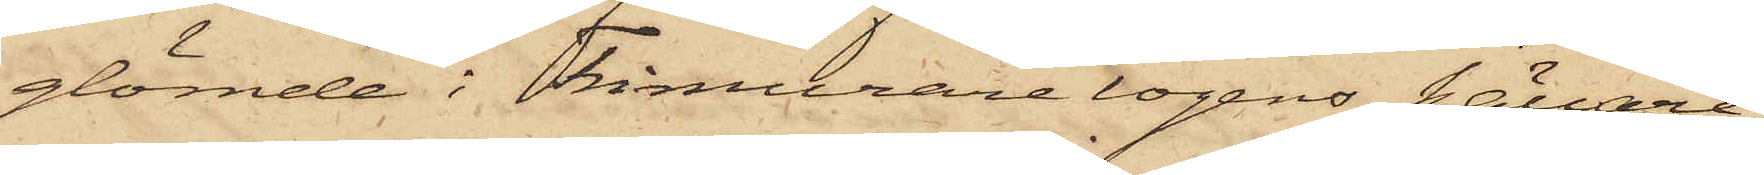glömde i Frimurarelogens källare¬
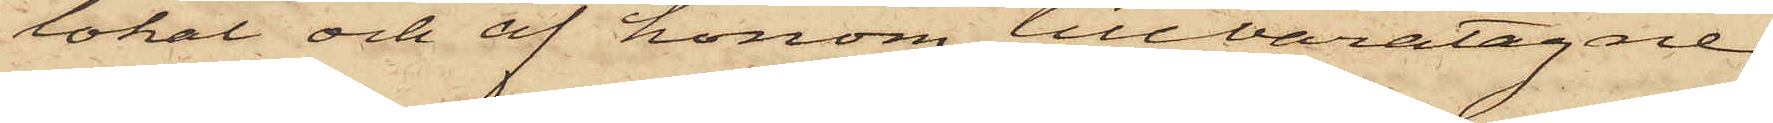lokal och af honom tillvaratagne
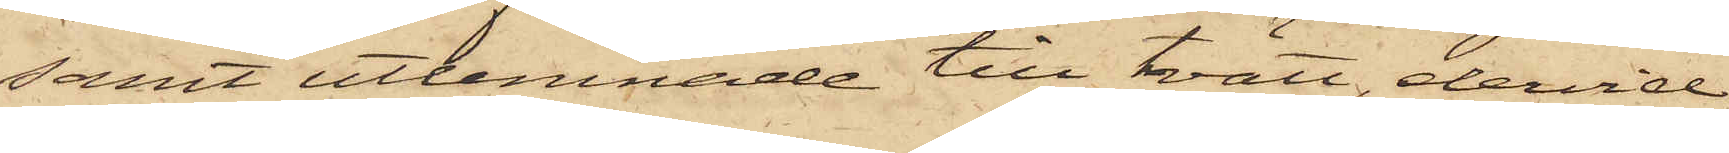samt utlemnade till tvätt, dervid
